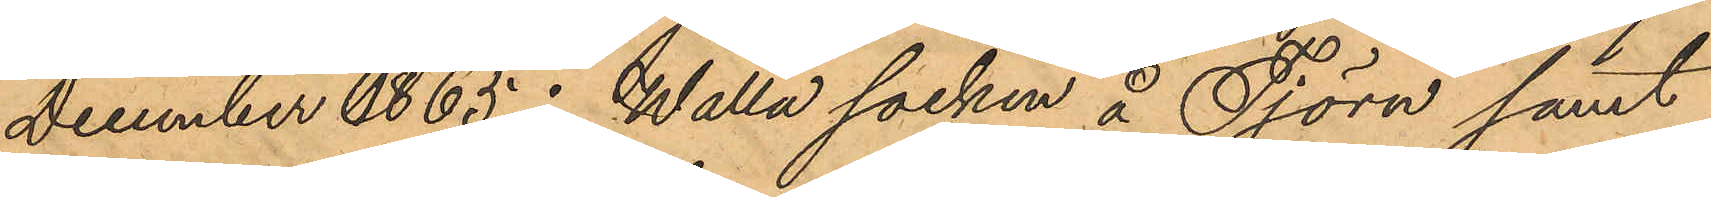Decmber 1865 i Walla socken å Tjörn samt
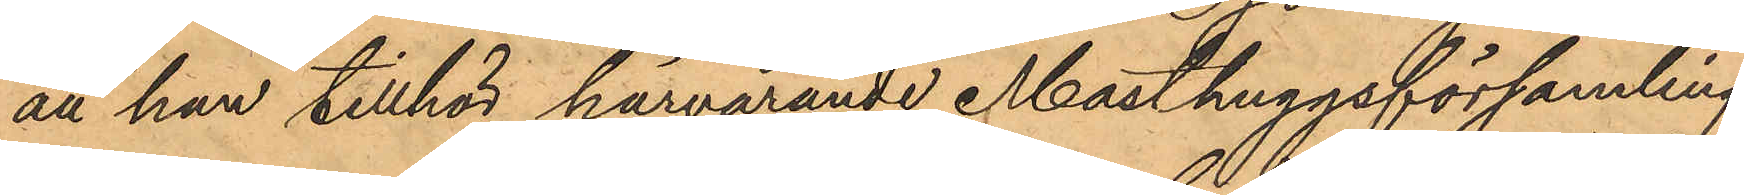att han tillhör härvarande Masthuggsförsamling.
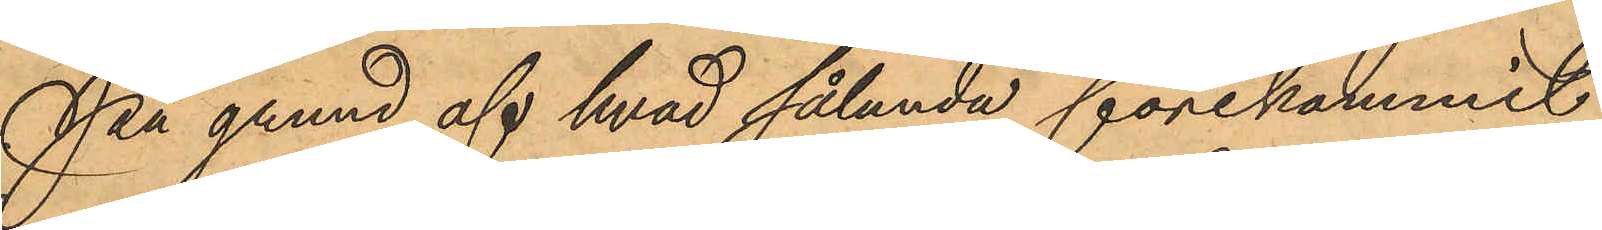På grund af hvad sålunda förekommit
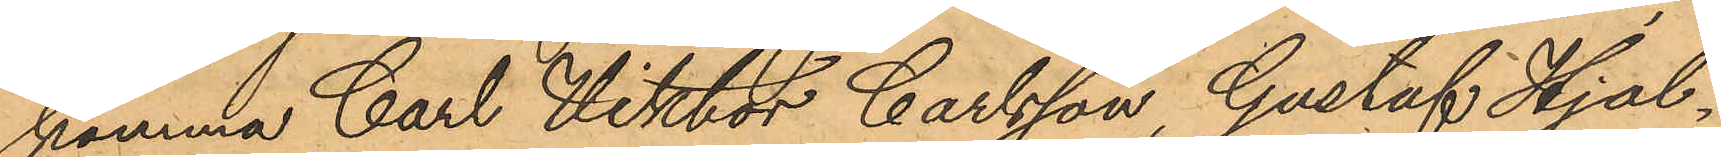komma Carl Viktor Carlsson Gustaf Hjal¬
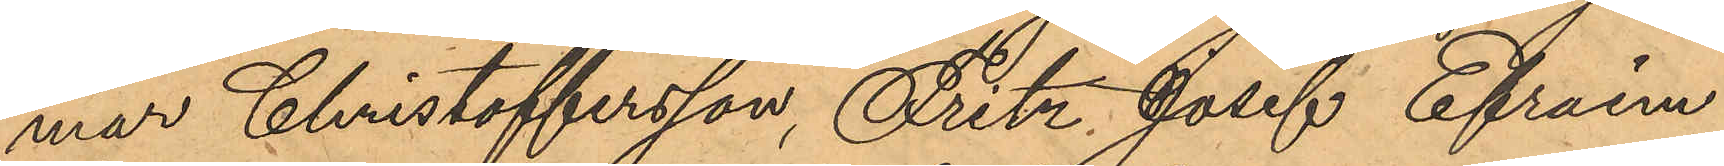mar Christoffersson, Fritz Josef Efraim
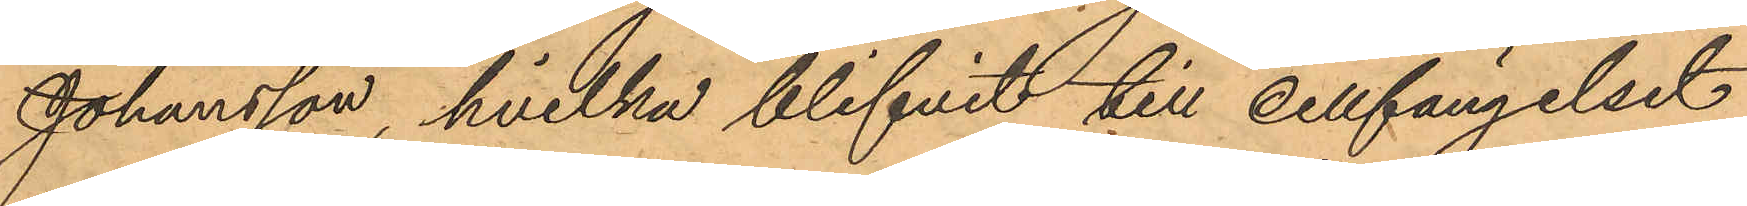Johansson, hvilka blifvit till cellfängelset
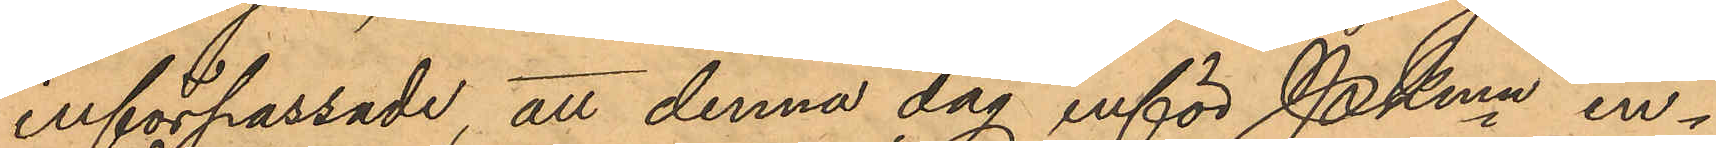införpassade, att denna dag inför Pkmn in¬
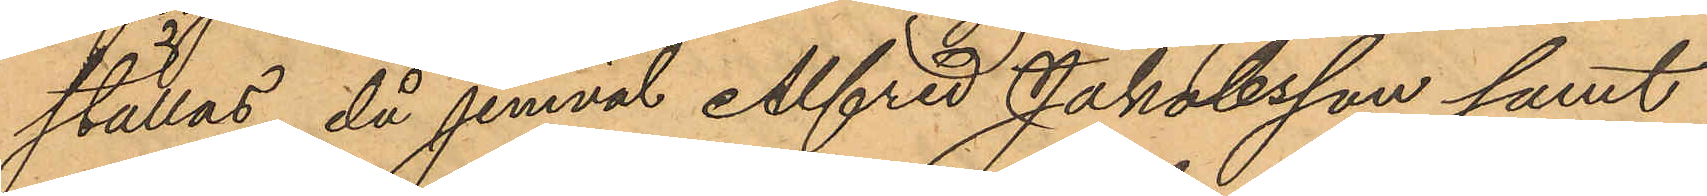ställas, då jemväl Alfred Jakobsson samt
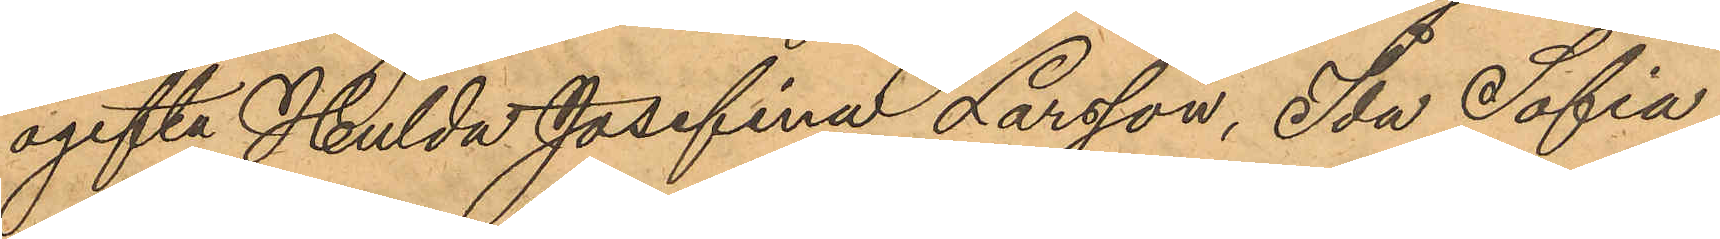ogifta Hulda Josefina Larsson, Ida Sofia
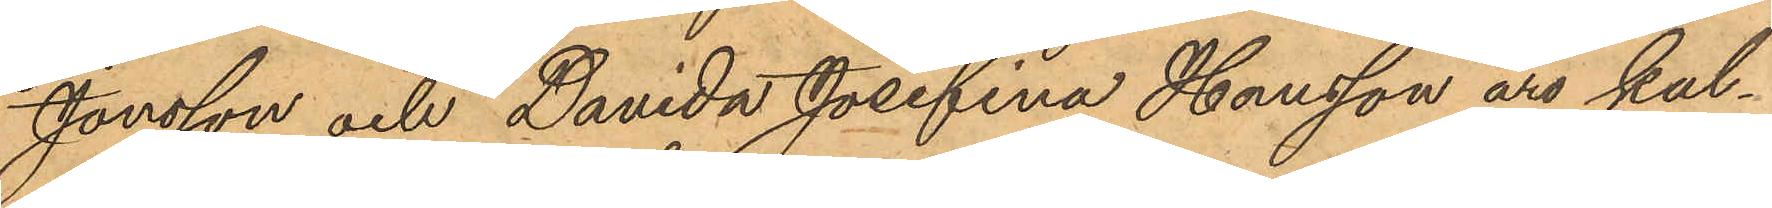Jonsson och Davida Josefina Hansson äro kal¬
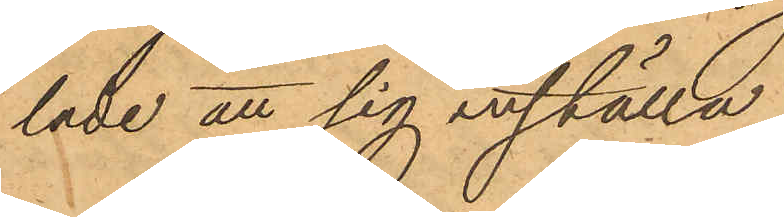lade att sig inställa.
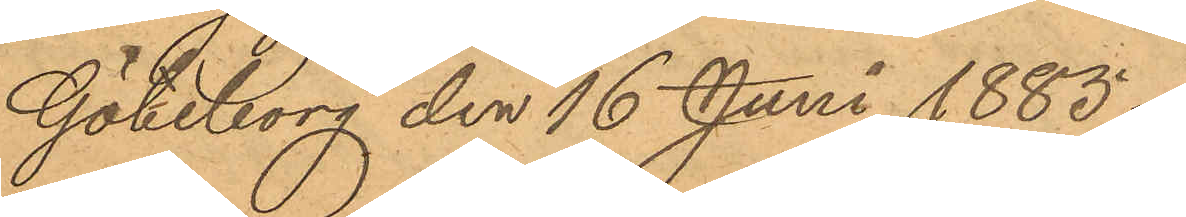Göteborg den 16 Juni 1885.
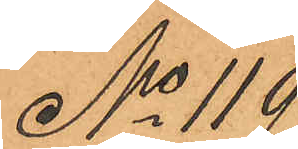No 119
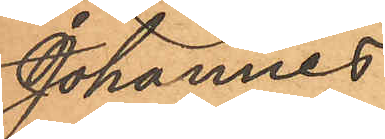Johannes
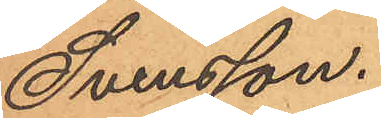Svensson.
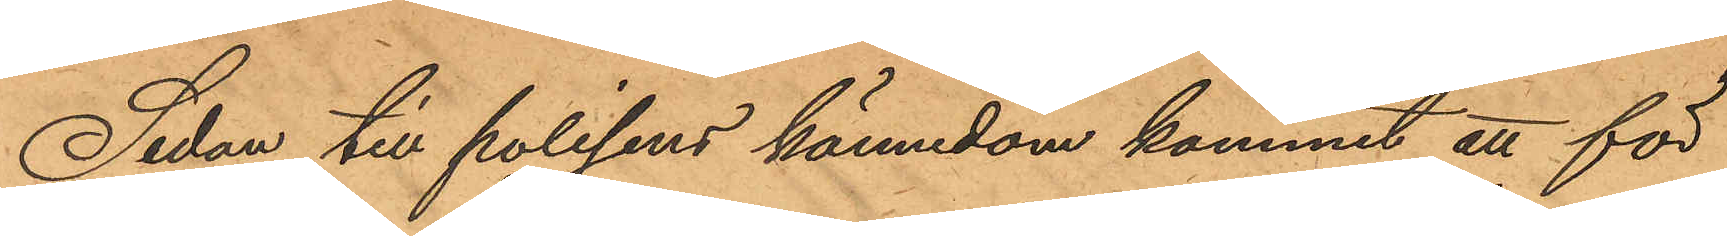Sedan till polisens kännedom kommit att för
